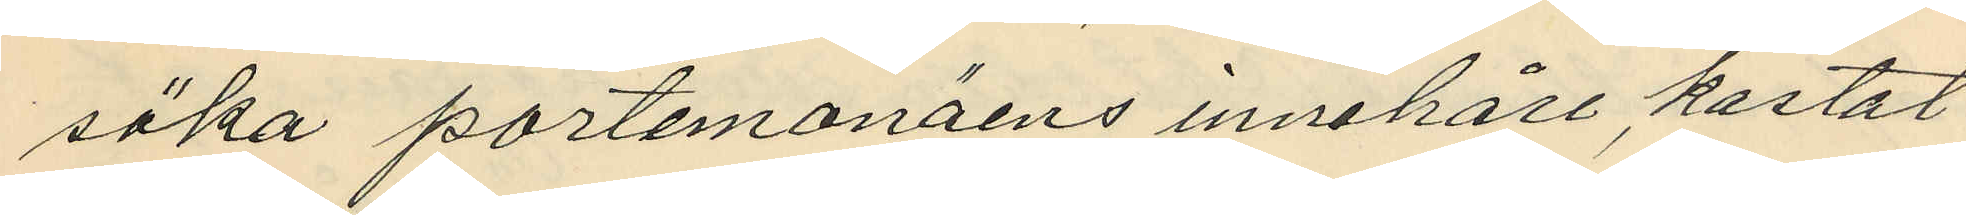söka portemonäens innehåll, kastat
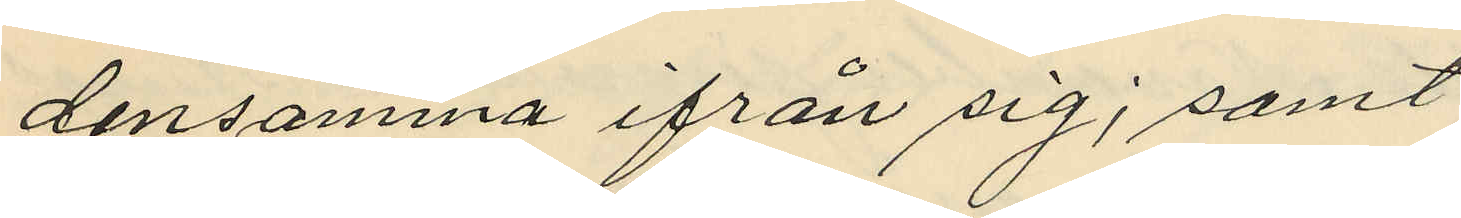densamma ifrån sig; samt
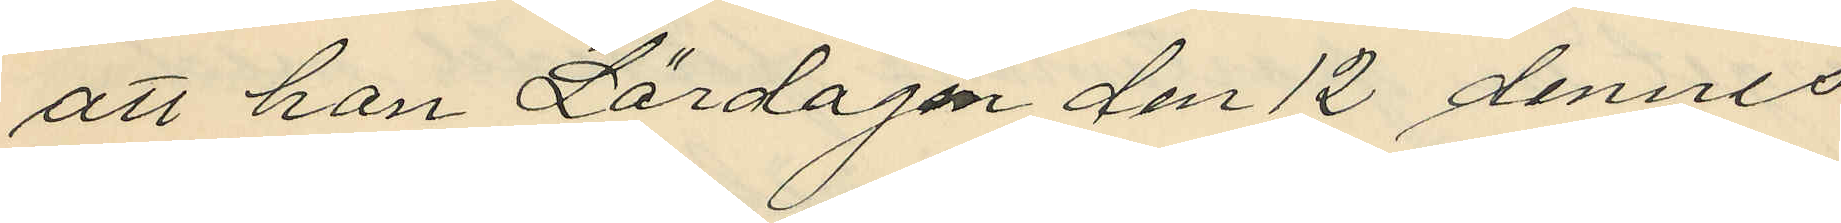att hon Lördagen den 12 dennes
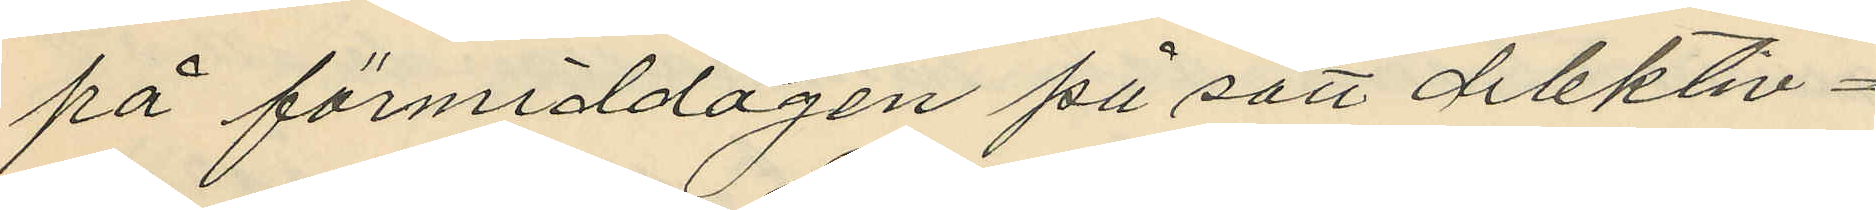på förmiddagen på sätt delektiv¬
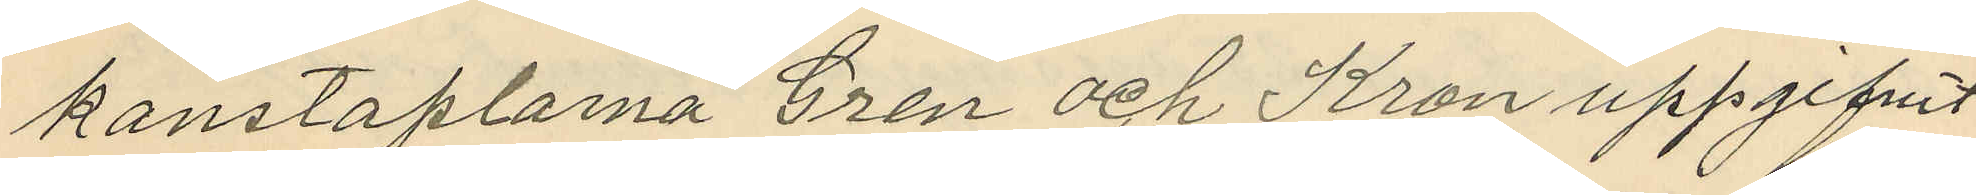konstaplarna Gren och Kron uppgifvit
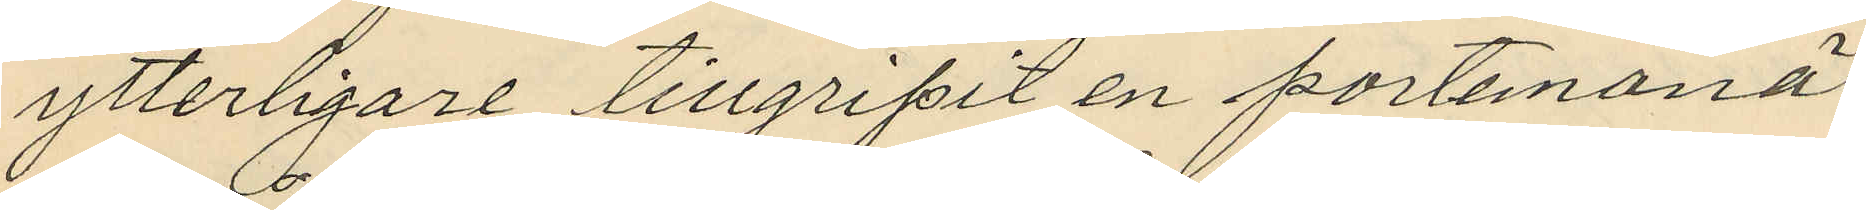ytterligare tillgripit en portemonä
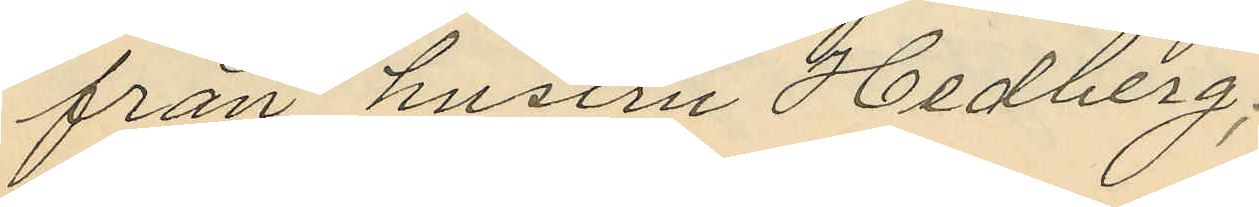från hustru Hedberg;
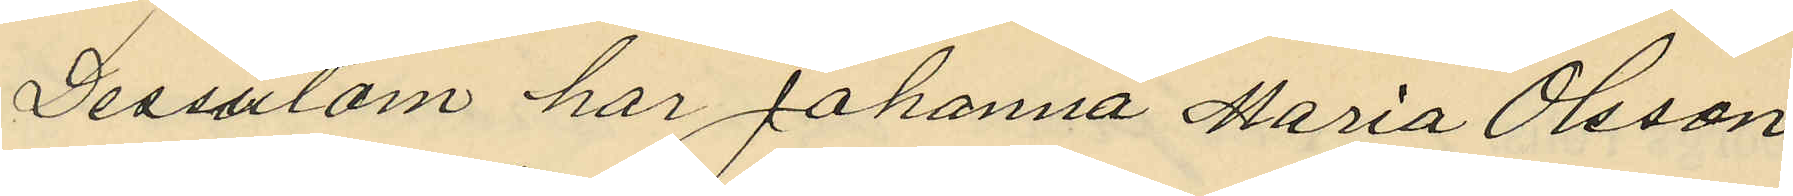Dessutom har Johanna Maria Olsson
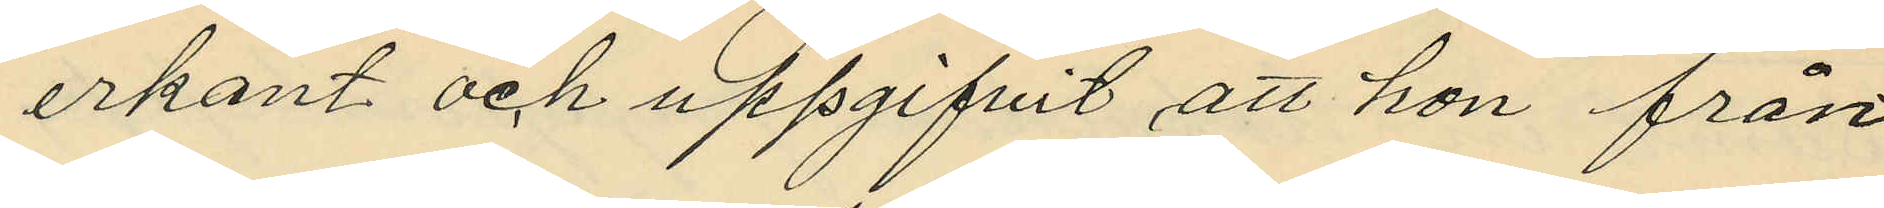erkant och uppgifvit att hon från
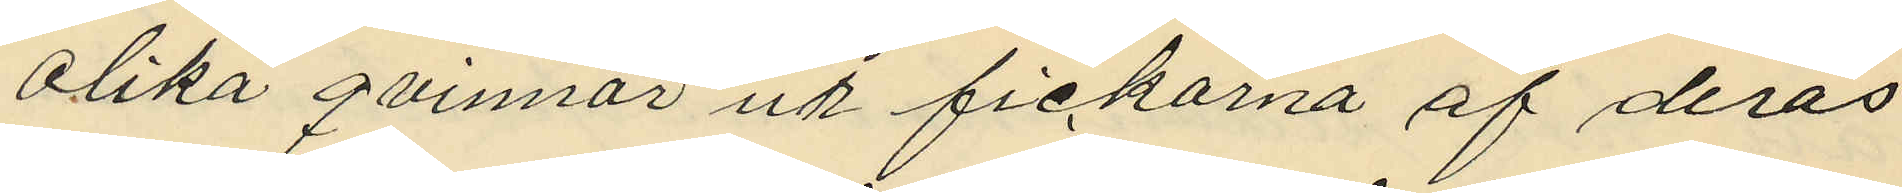olika qvinnor ur fickorna af deras
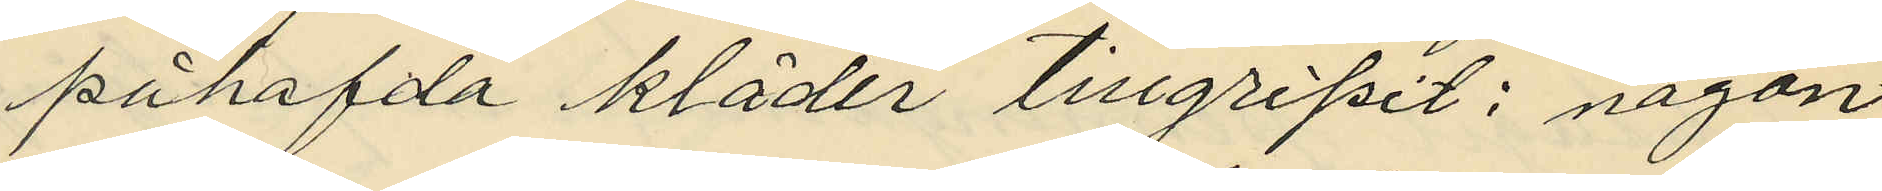påhafda kläder tillgripit: någon
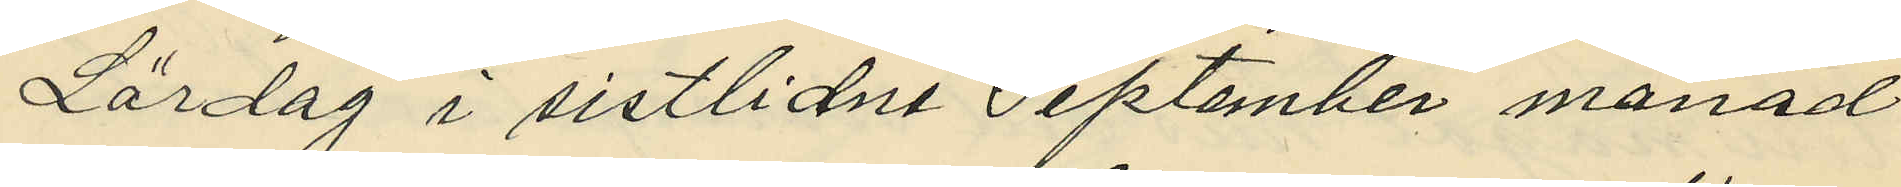Lördag i sistlidne September månad
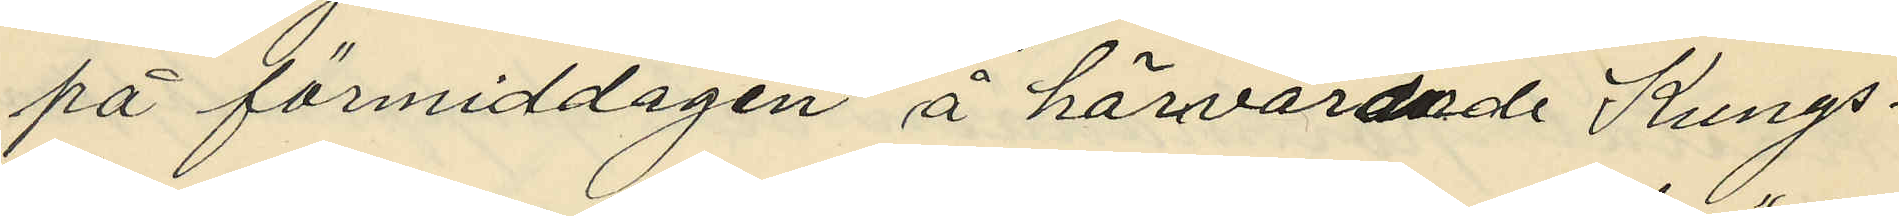på förmiddagen å härvarande Kungs¬
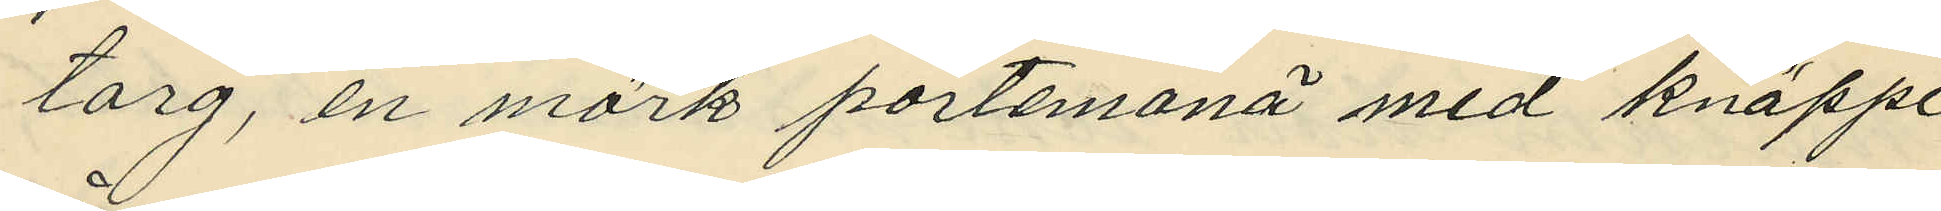torg, en mörk portemonä med knäppe
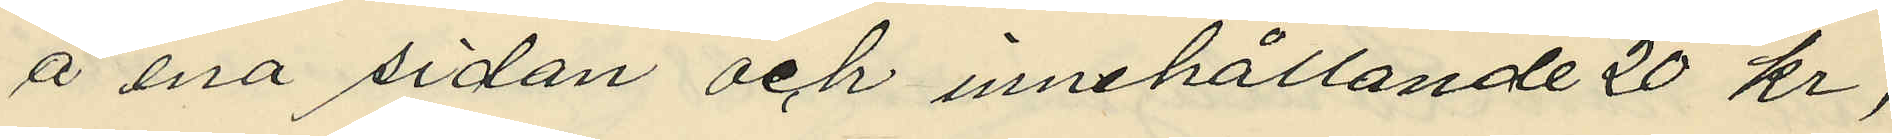å ena sidan och innehållande 20 kr,
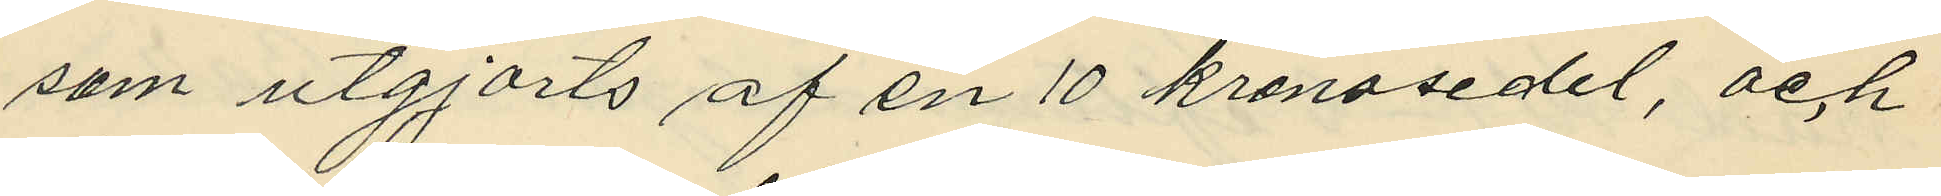som utgjorts af en 10 kronosedel, och
